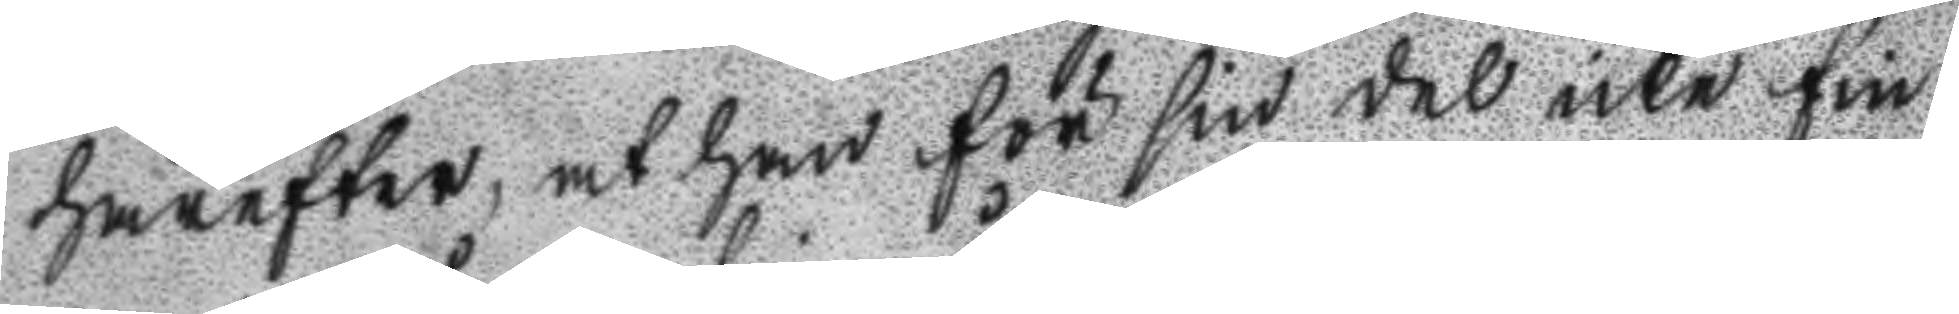härefter, at han för sin del icke fin¬
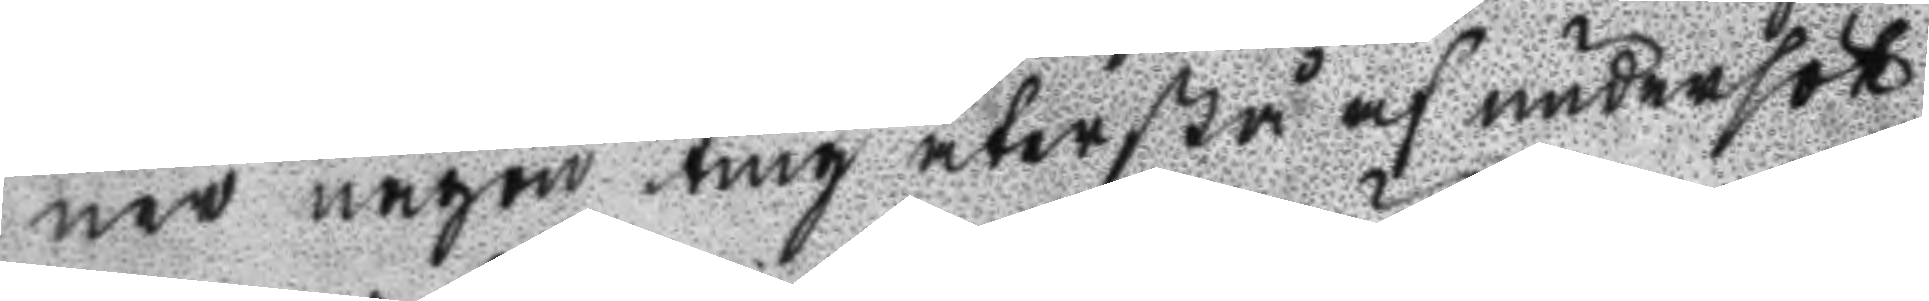ner någon ting återstå af undersö
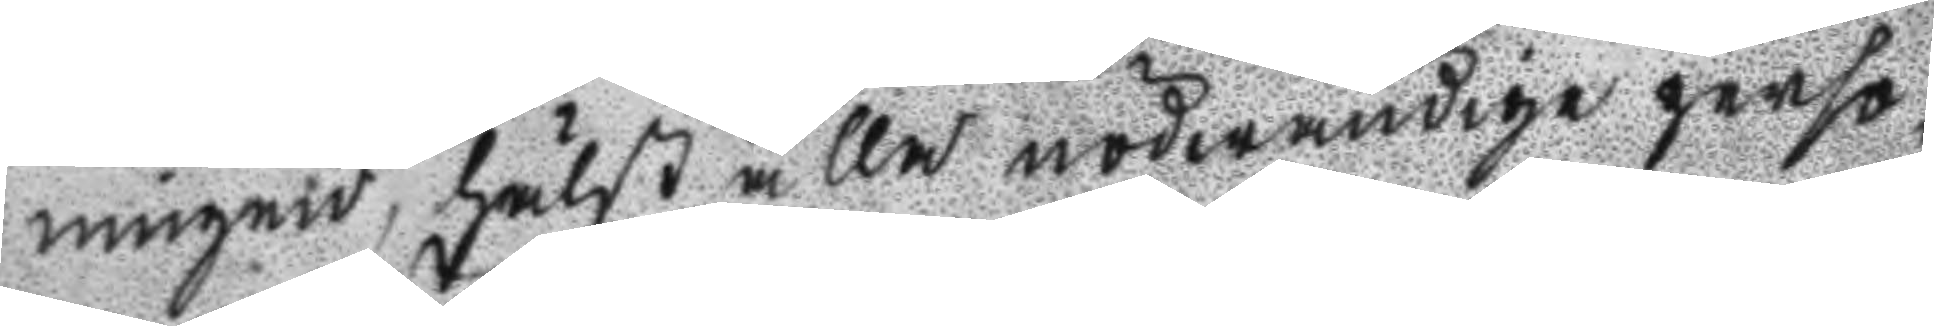ningen, hälst alla nödwändige perso¬
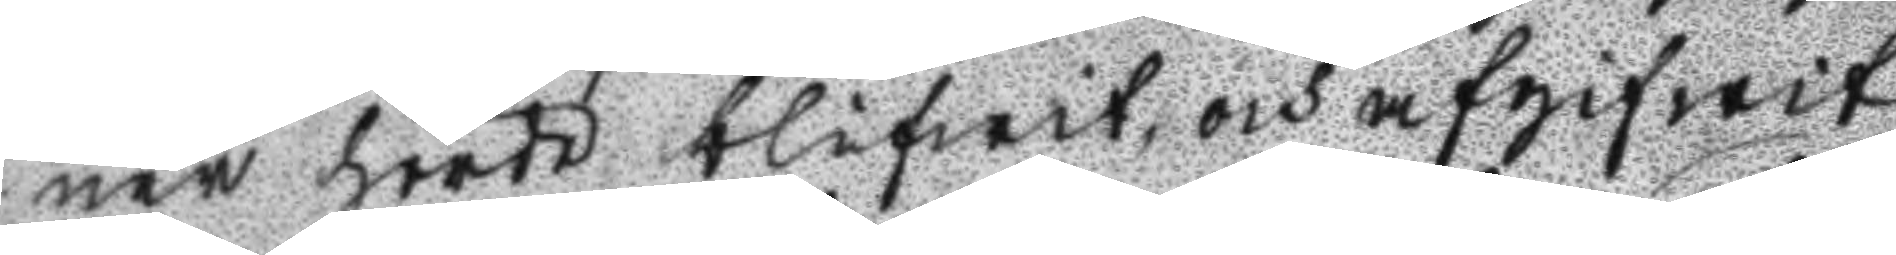ner hördt blifwit, och afgifwit,
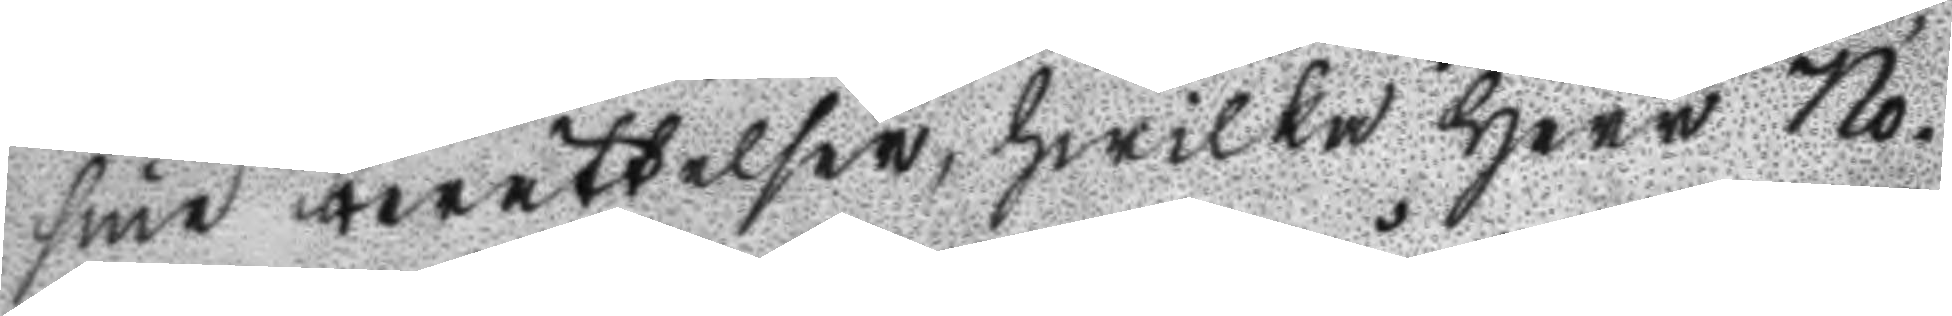sine berättelser, hwilka Herr No¬
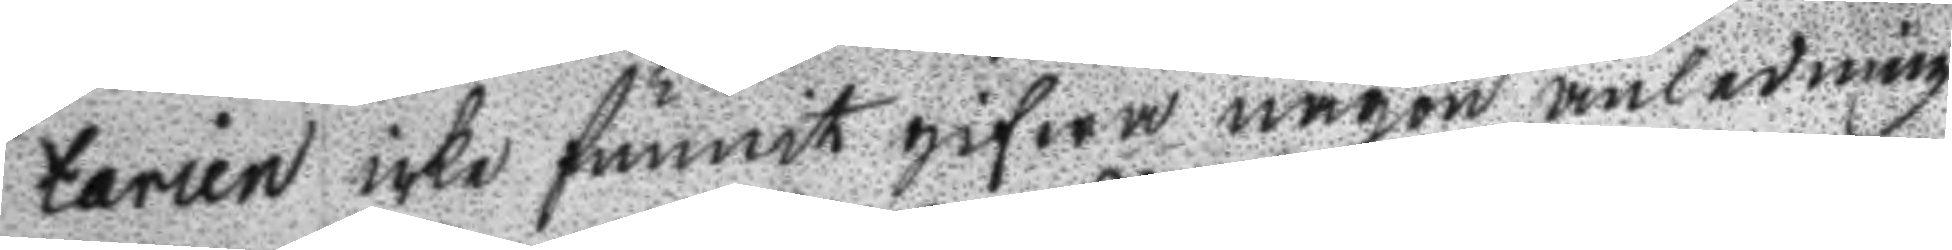tarien icke funnit gifwa någon anledning
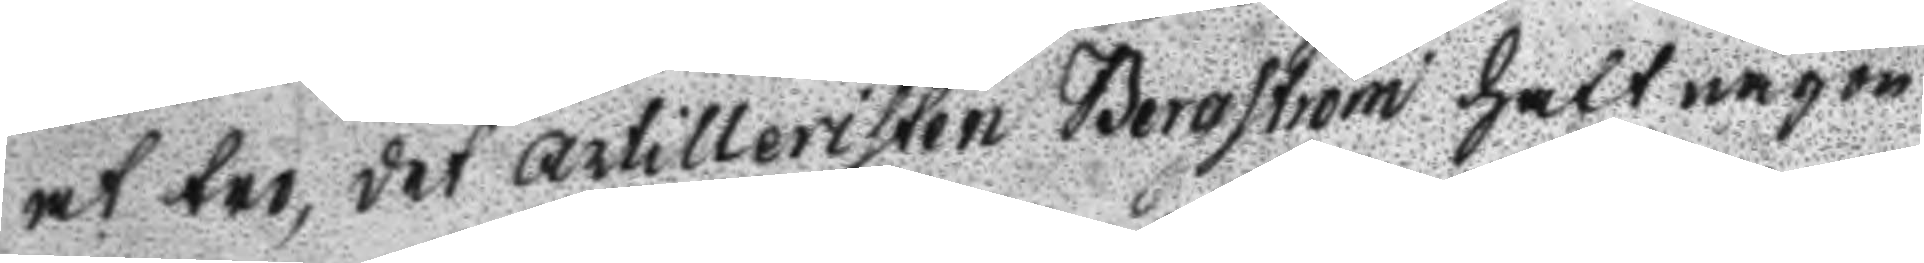at tro, det artilleristen Bergström haft någon
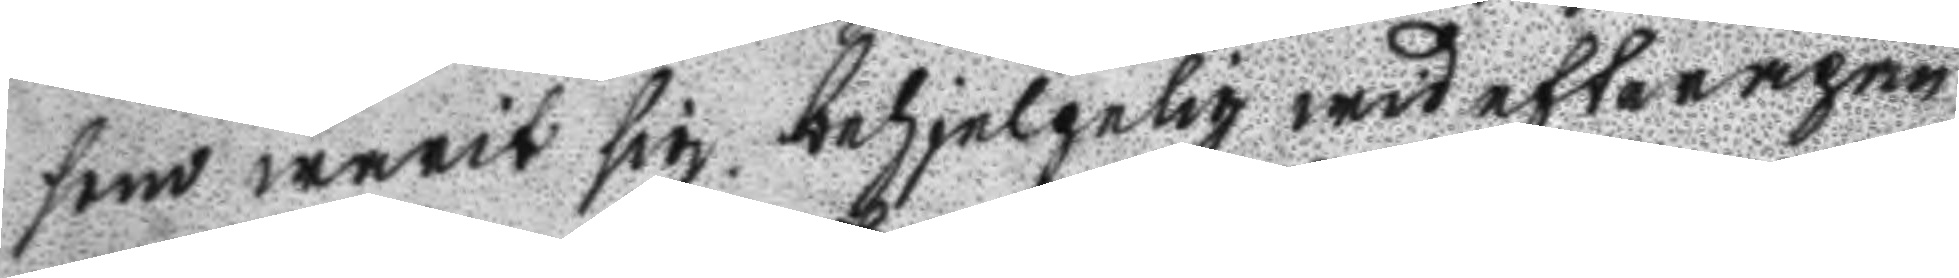som warit sig behjelplig wid efterapne
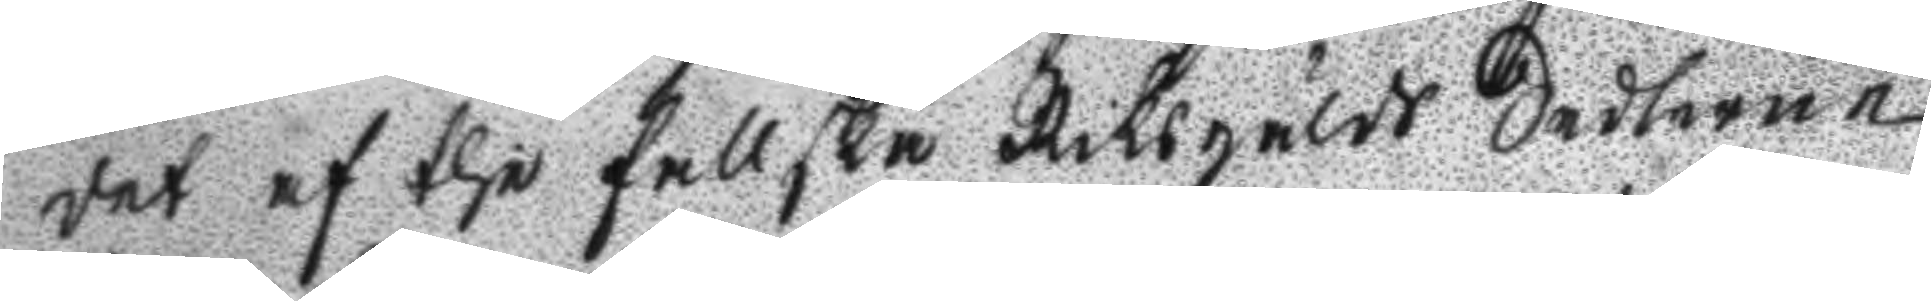det af the fallska Riksgälds Sedlerne,
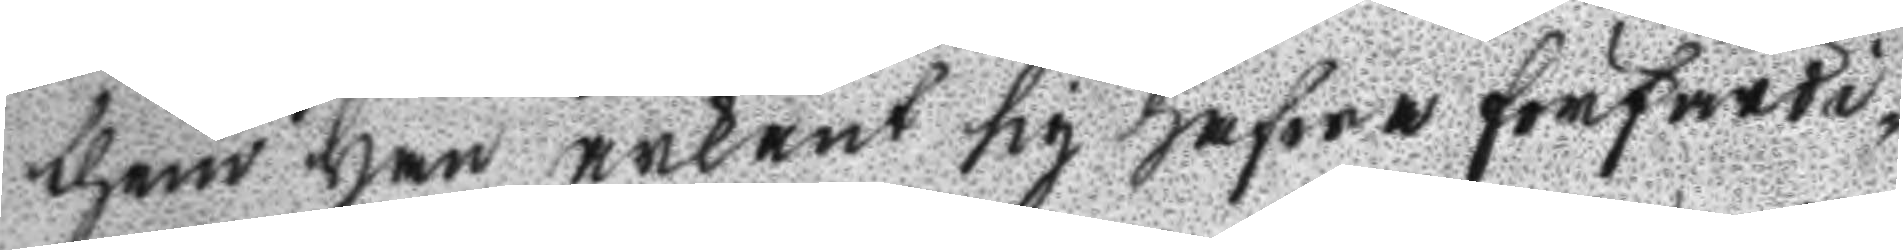them han ärkänt sig hafwa förfärdi¬
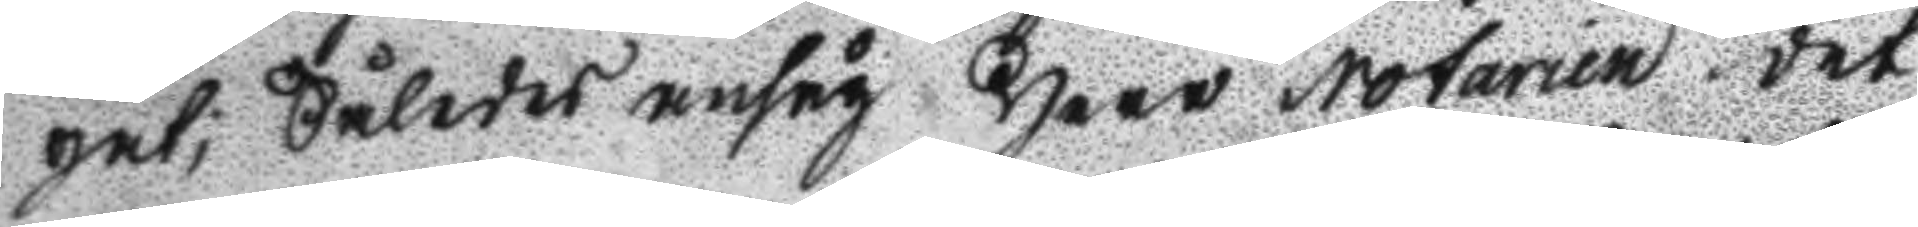gat; Således ansåg Herr Notarien det
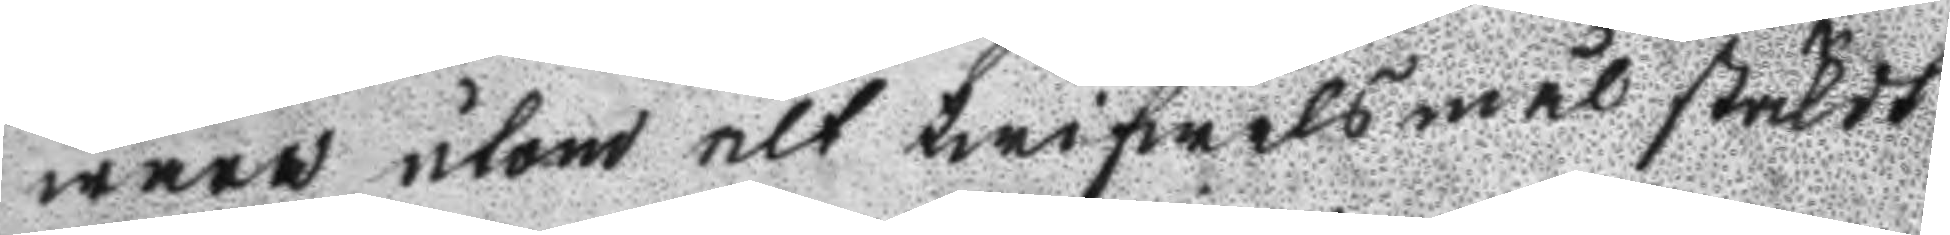wara utom alt twifwelsmål stäldt
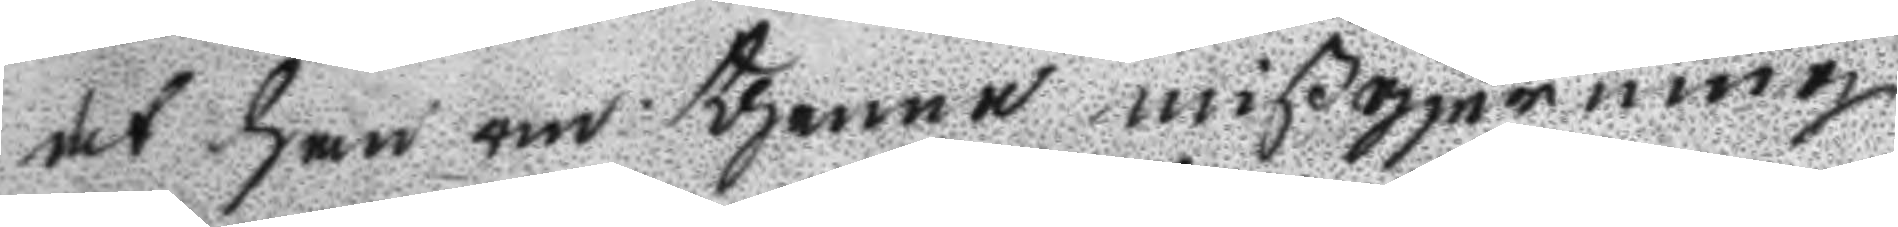det han om thenne mißgjerning
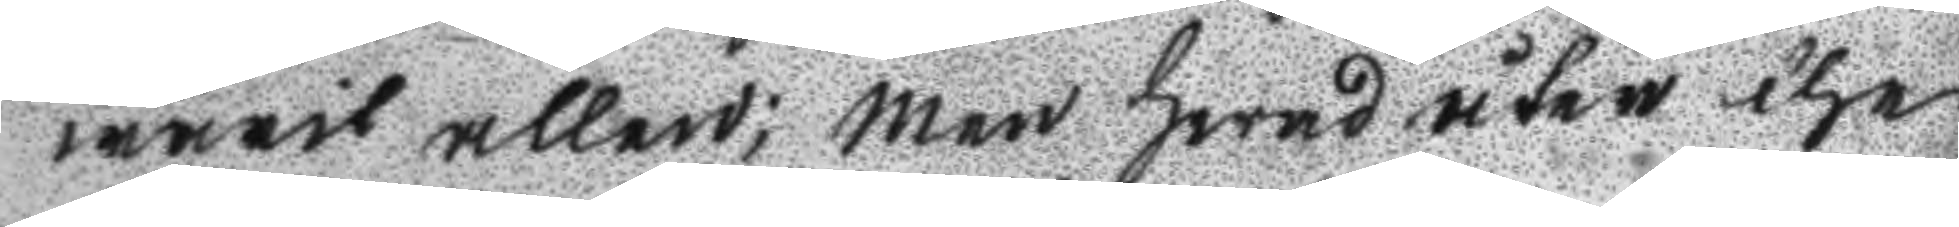warit allen; Men hwad åter the
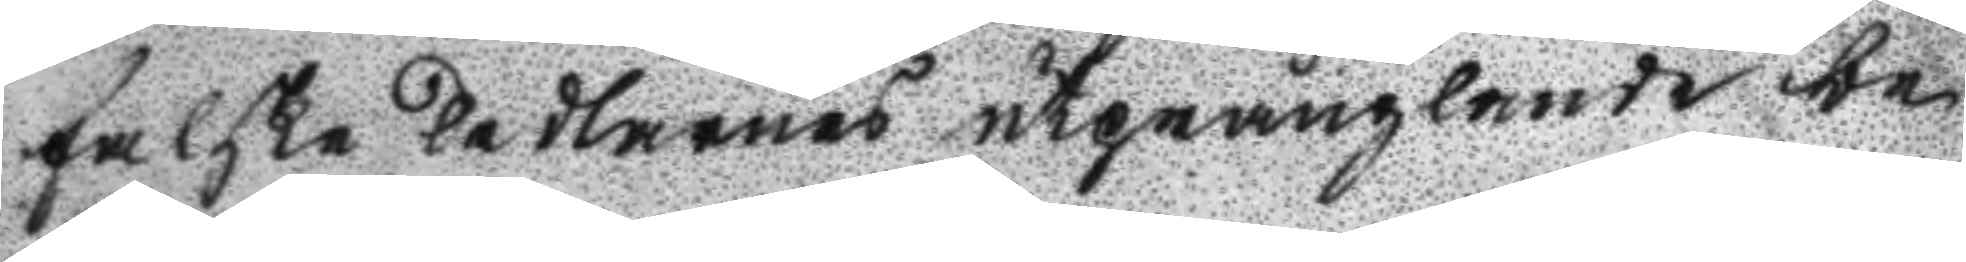falske sedlarnes utprånglande be
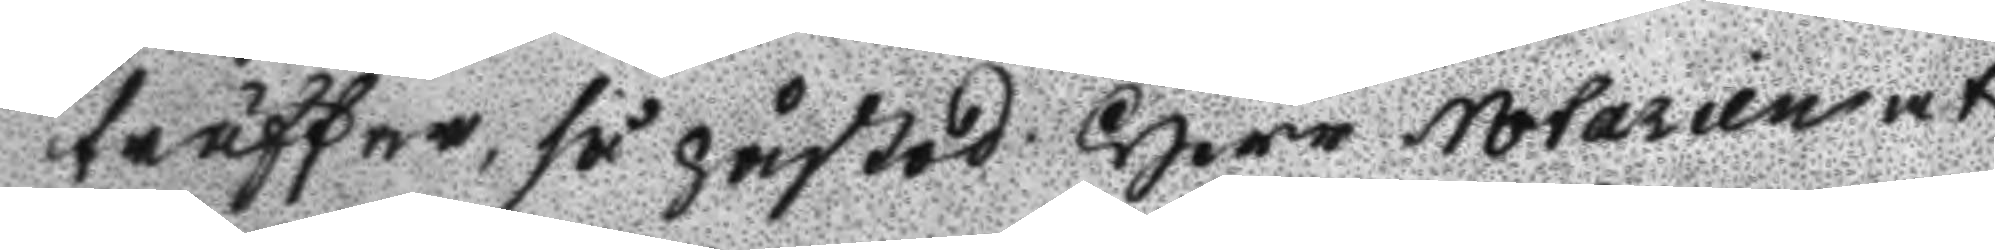träffar, så påstod Herr Notarien at
